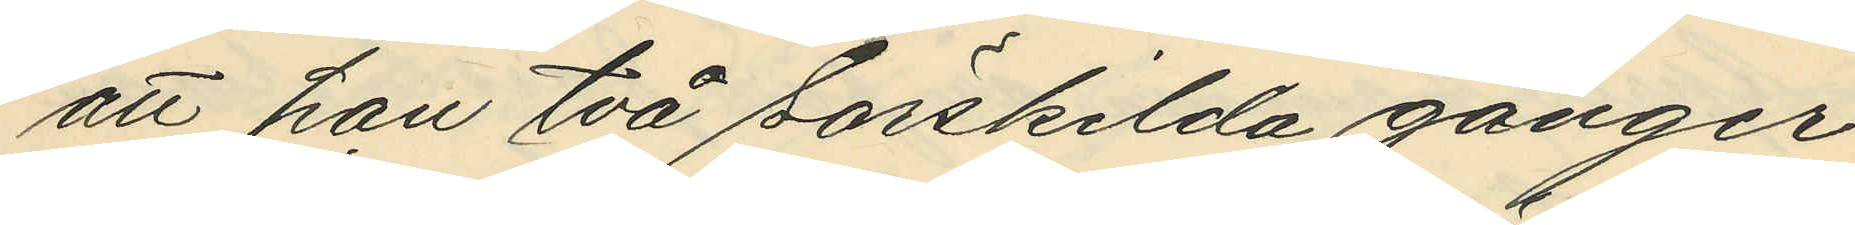att han två särskilda gånger
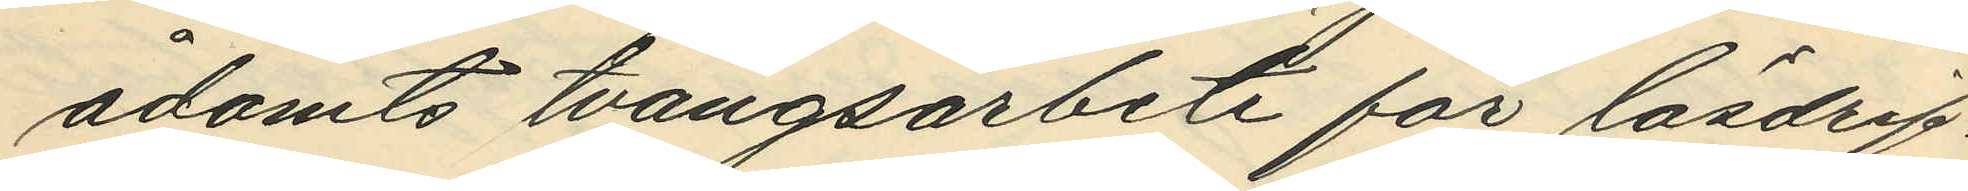ådömts tvångsarbete för lösdrif¬
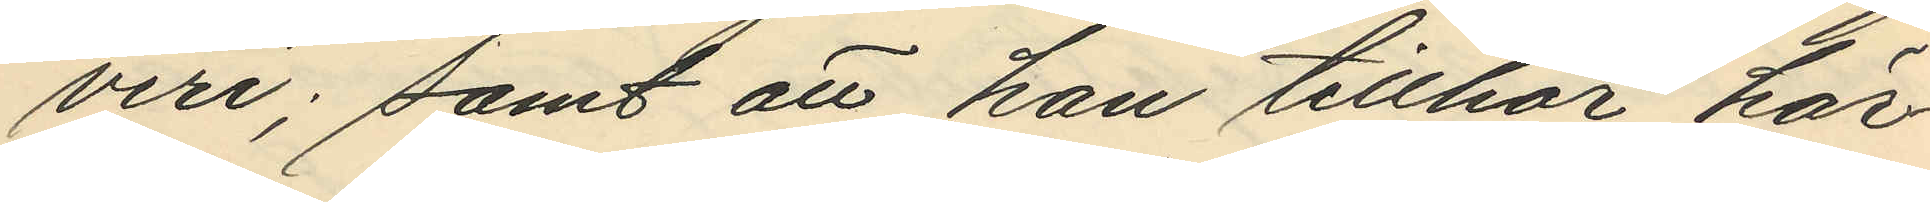veri; samt att han tillhör här¬
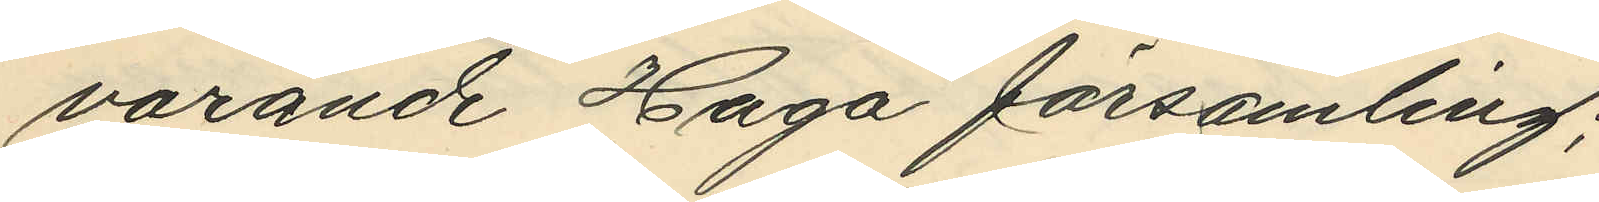varande Haga församling;
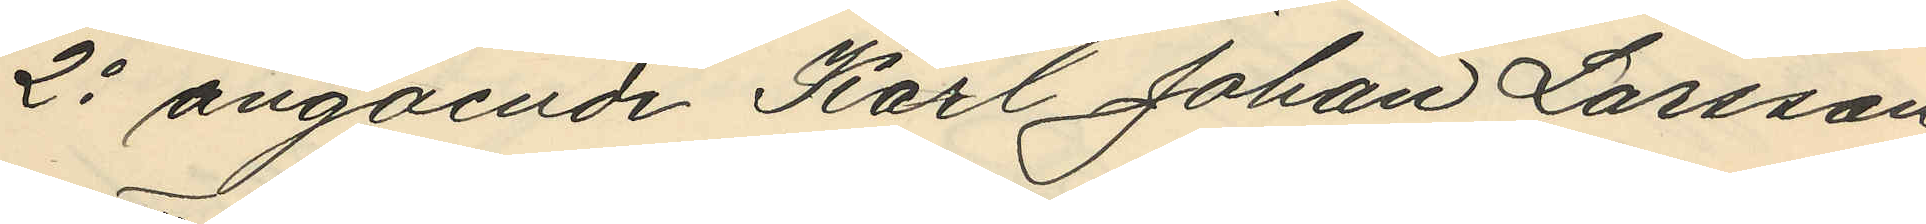2o angående Karl Johan Larsson
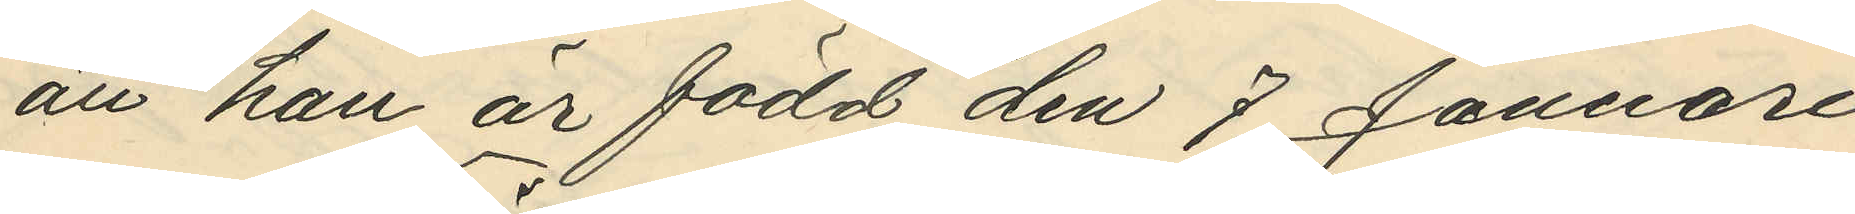att han är född den 7 Januari
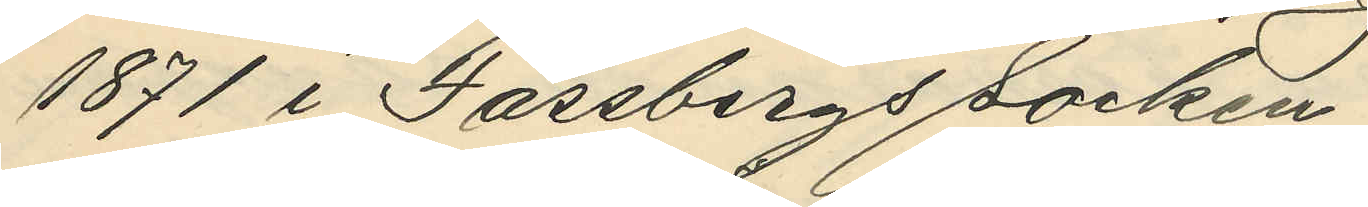1871 i Fässbergs Socken;
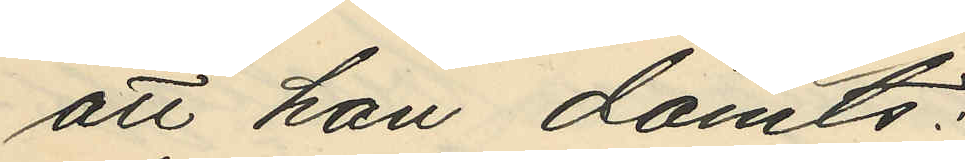att han dömts:
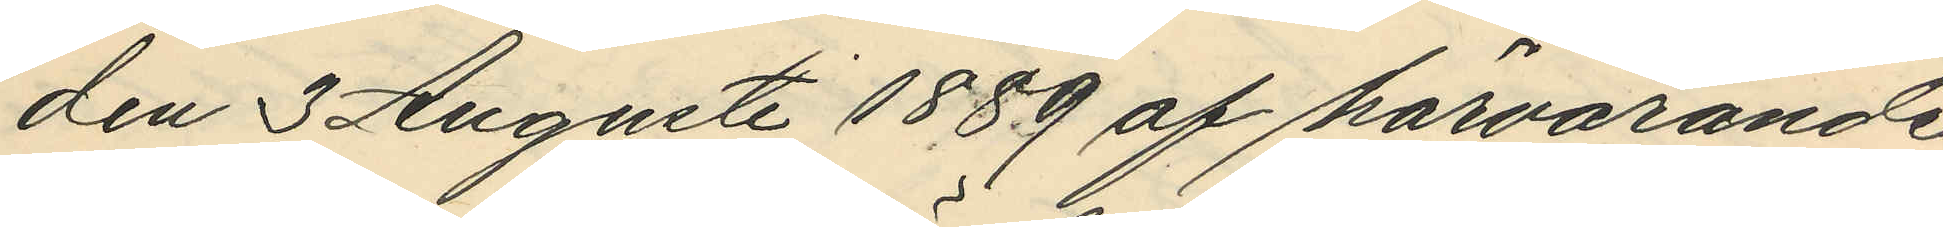den 3 Augusti 1889 af härvarande
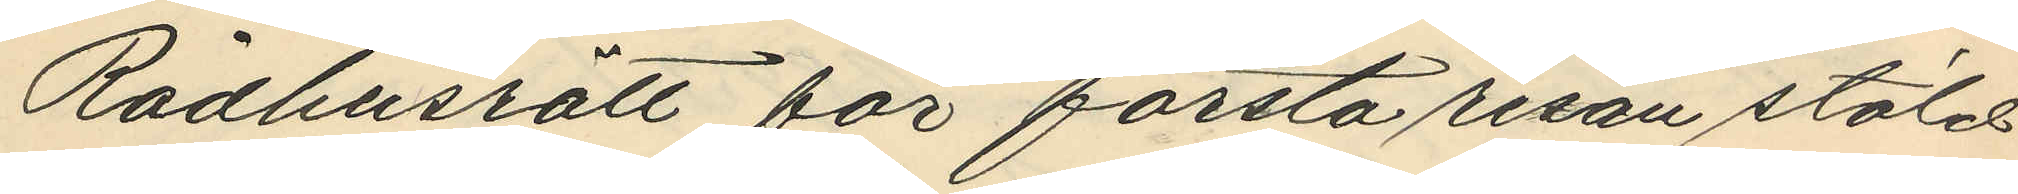Rådhusrätt för första resan stöld
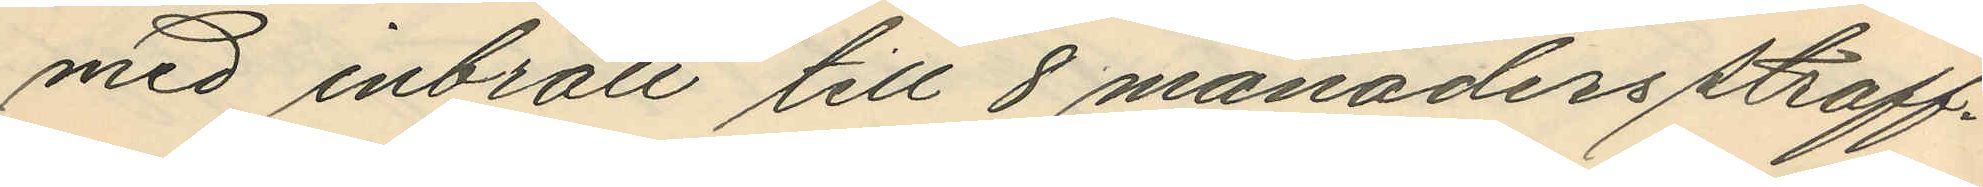med inbrott till 8 månaders straff¬
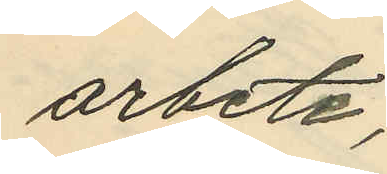arbete;
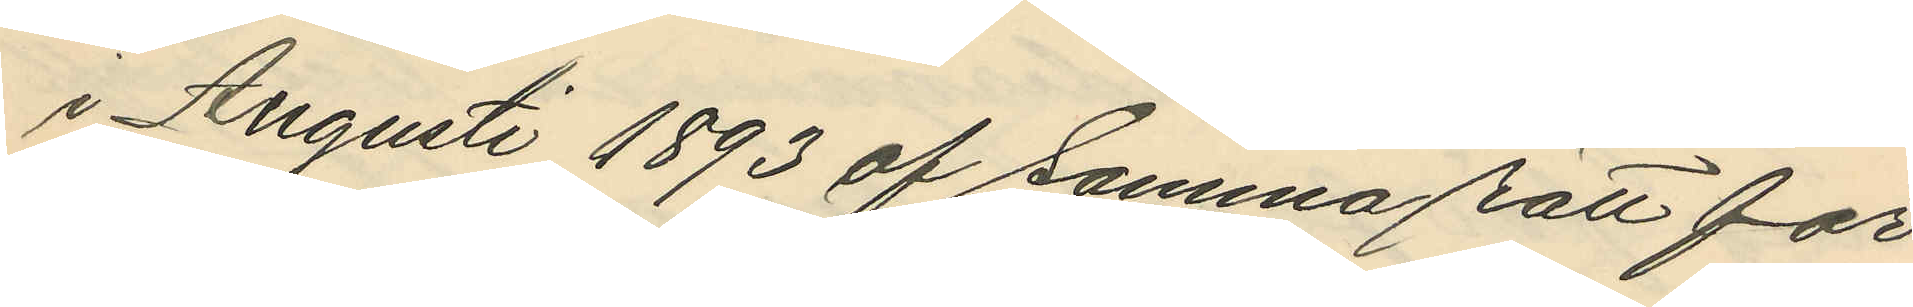i Augusti 1893 af samma rätt för
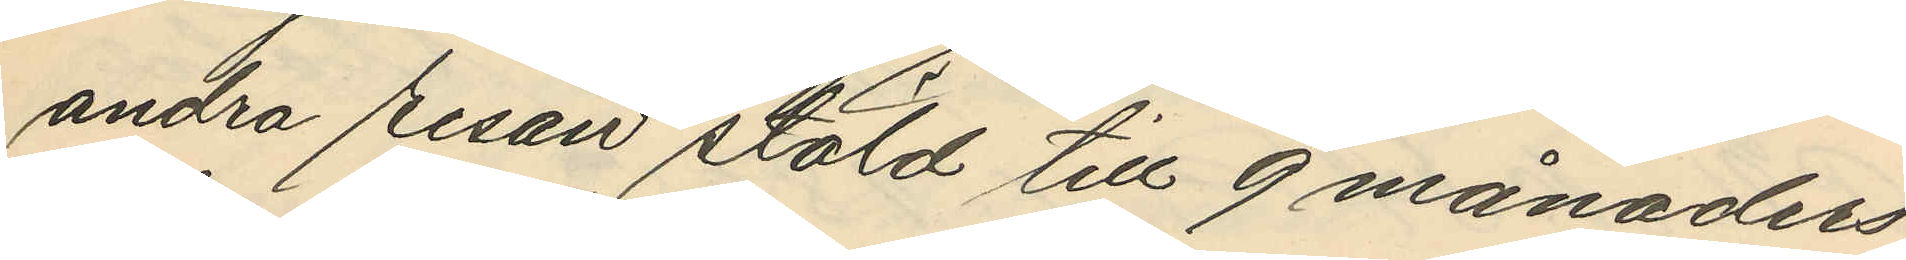andra resan stöld till 9 månaders
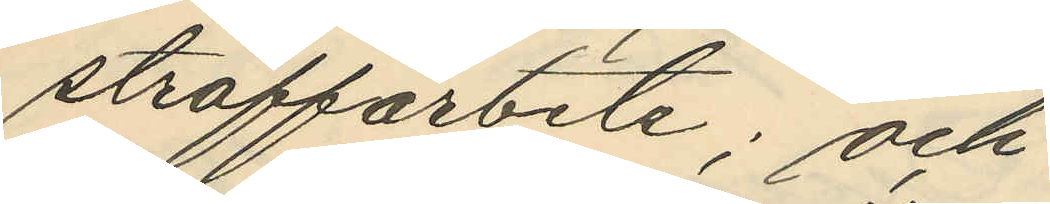straffarbete; och
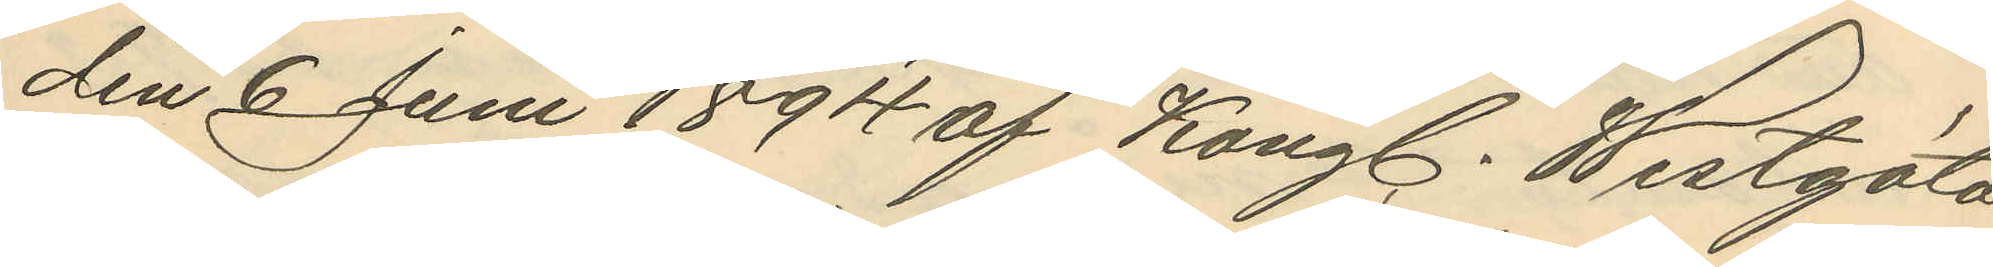den 6 Juni 1894 af Kongl. Westgöta
